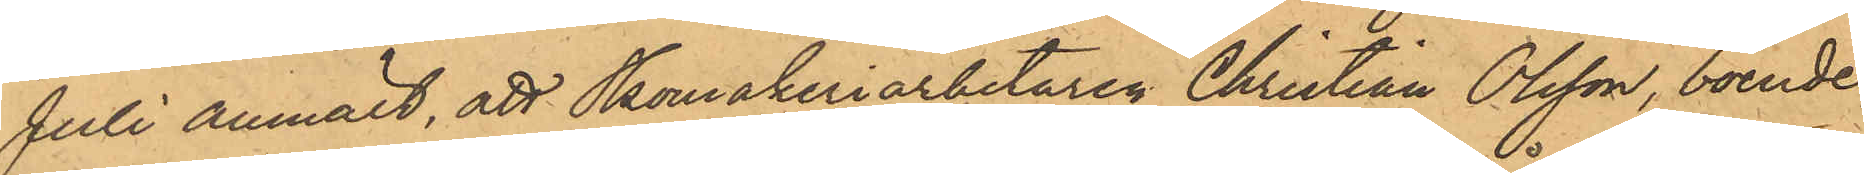Juli anmält, att Skomakeriarbetaren Christian Olsson, boende
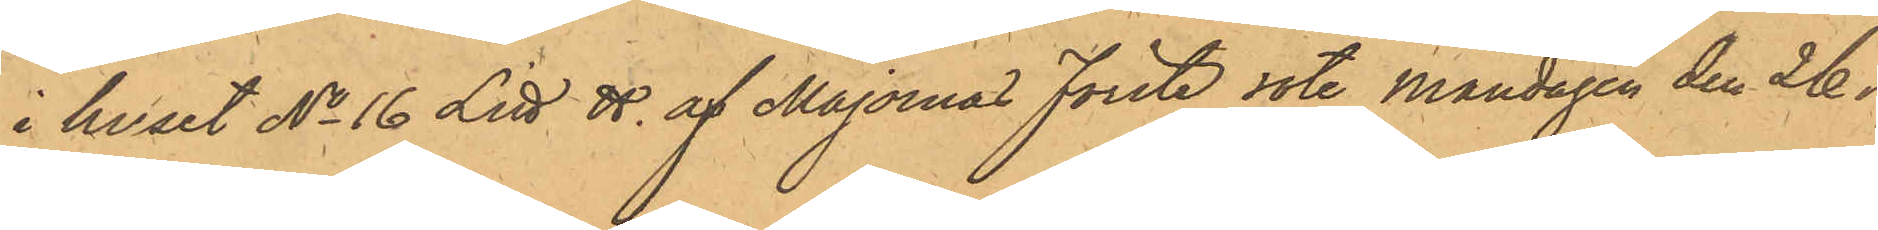i huset No 16 Litt. H af Majornas Förste rote Måndagen den 26 i
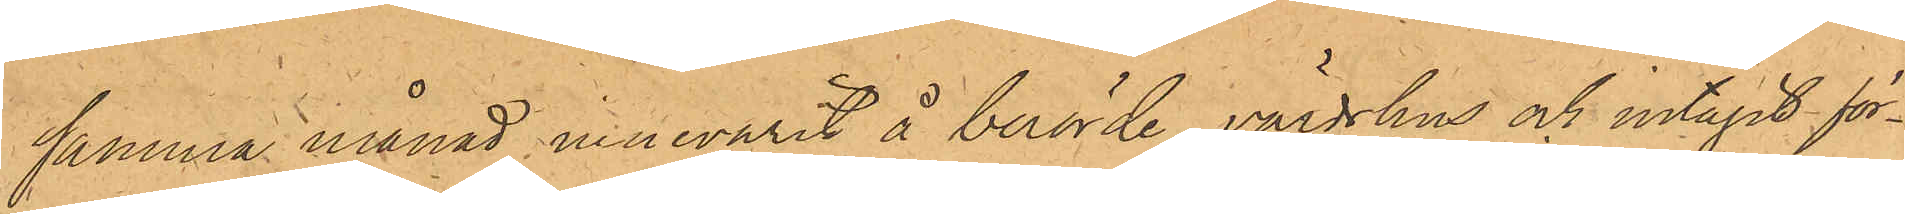samma månad innevarit å berörde värdshus och intagit för¬
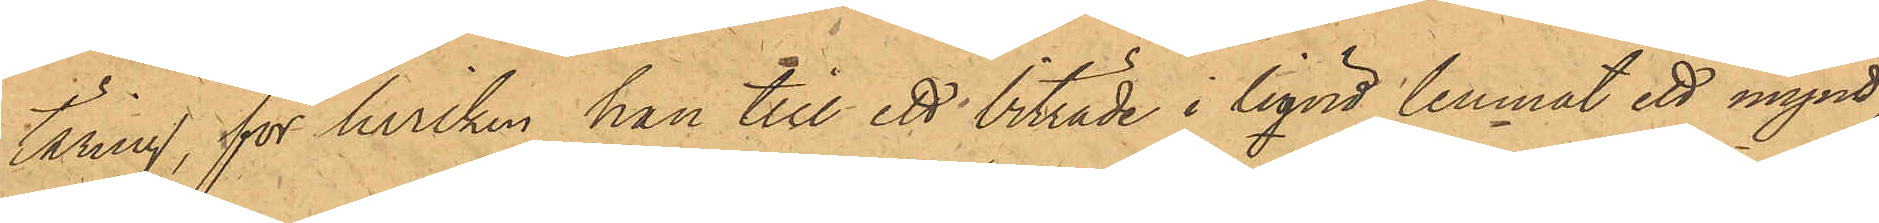täring, för hvilken han till ett biträde i liqvid lemnat ett mynt
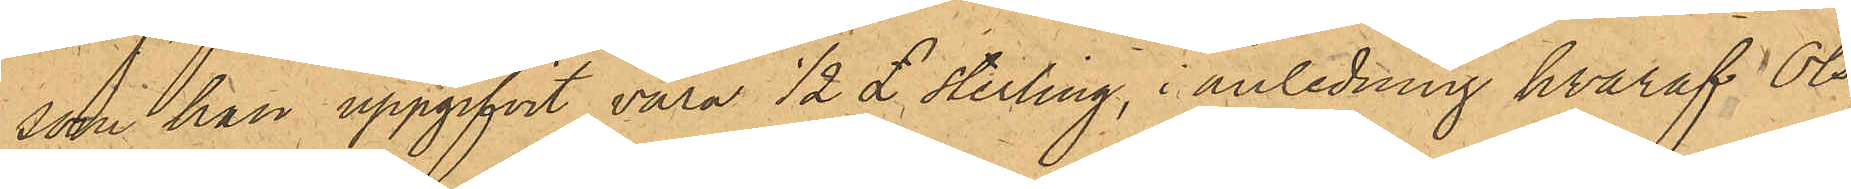som han uppgifvit vara 1/2  sterling, i anledning hvaraf Ols¬
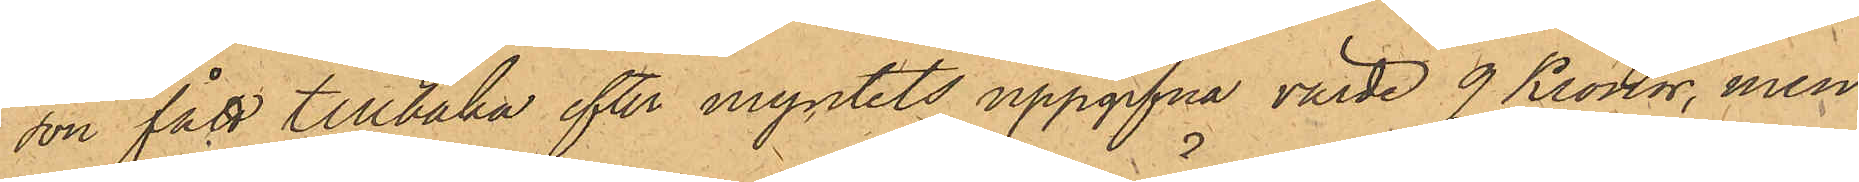son fått tillbaka efter myntets uppgifna värde 9 Kronor, men
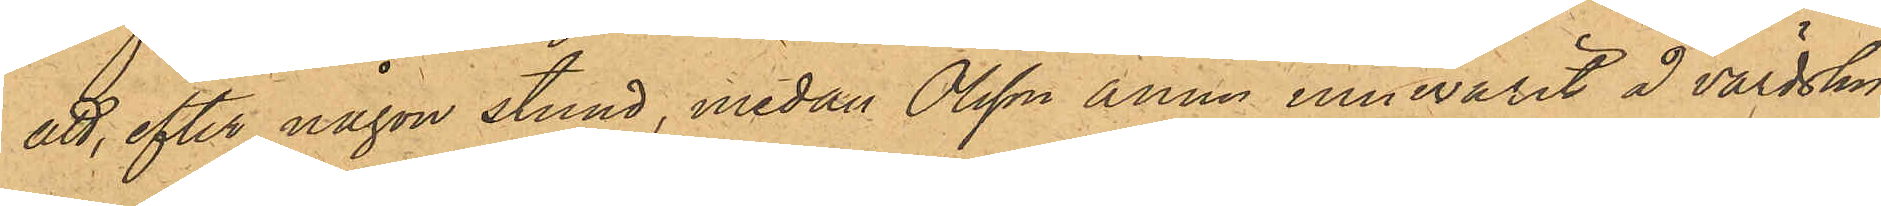att, efter någon stund, medan Olsson ännu innevarit å värdshu¬
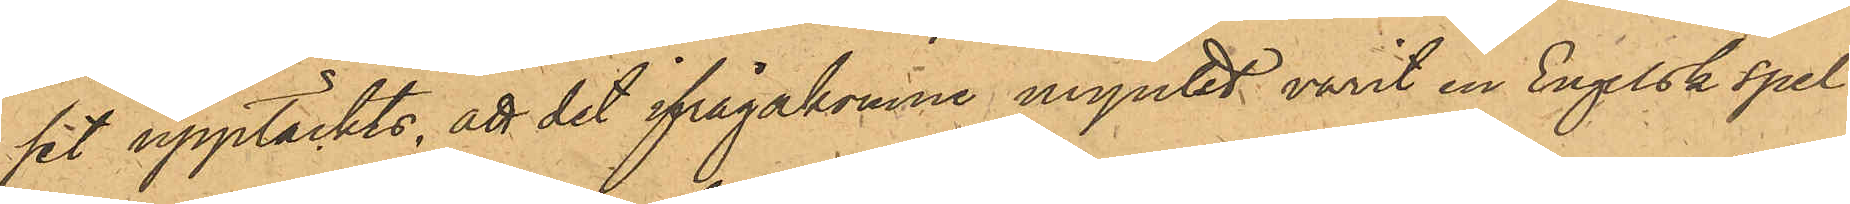sit upptäckts, att det ifrågakomne myntet varit en Engelsk spel¬
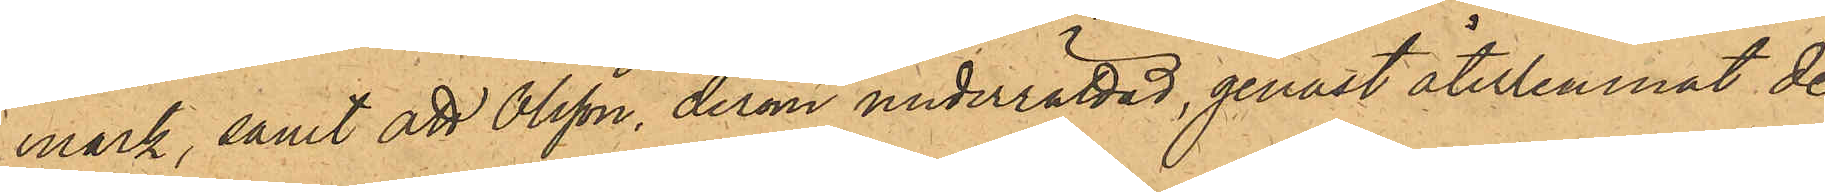mark, samt att Olsson, derom underrättad, genast återlemnat de
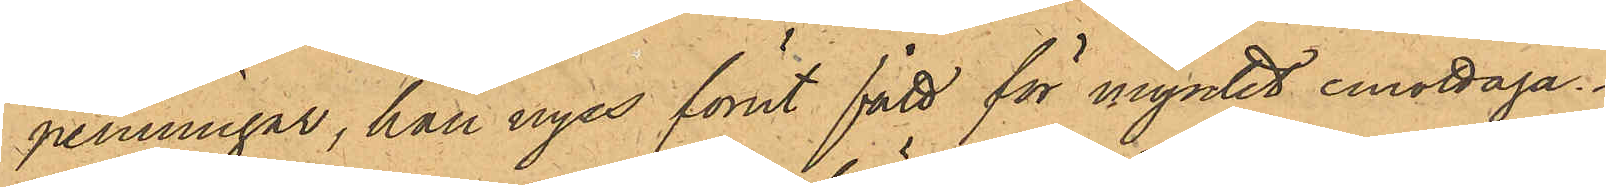penningar, han nyss förut fått för myntet emottaga.
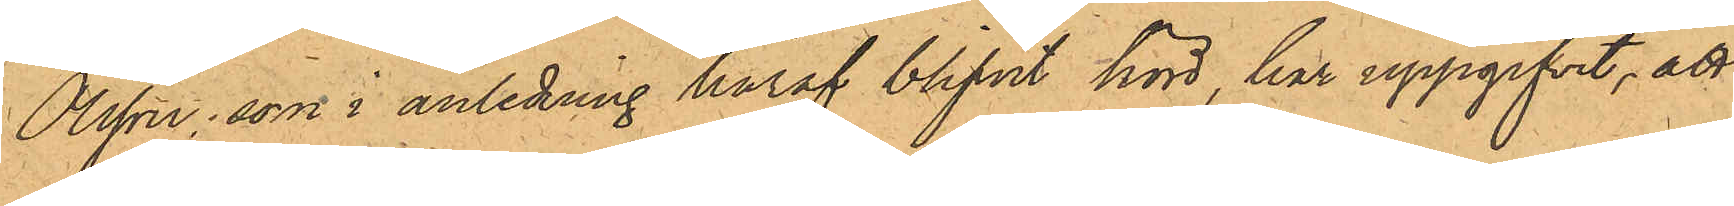Olsson, som i anledning häraf blifvit hörd, har uppgifvit, att
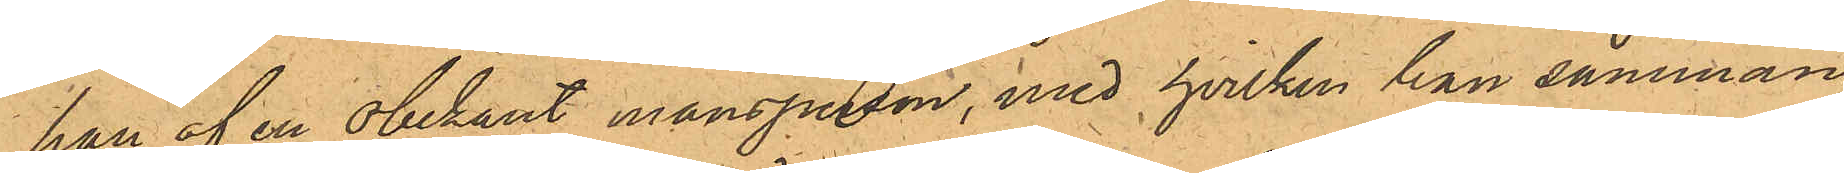han af en obekant mansperson, med hvilken han samman¬
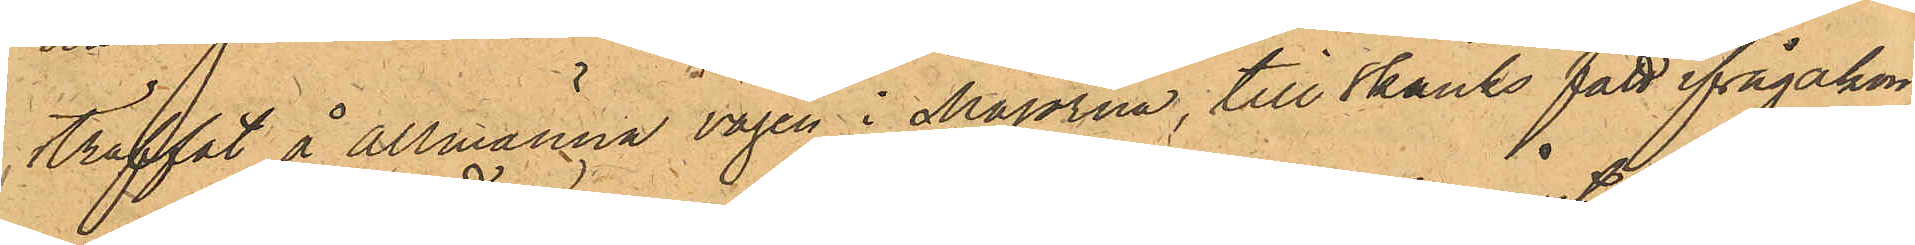träffat å Allmänna vägen i Majorna, till skänks fått ifrågakom¬
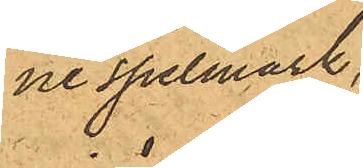ne spelmark;
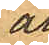att
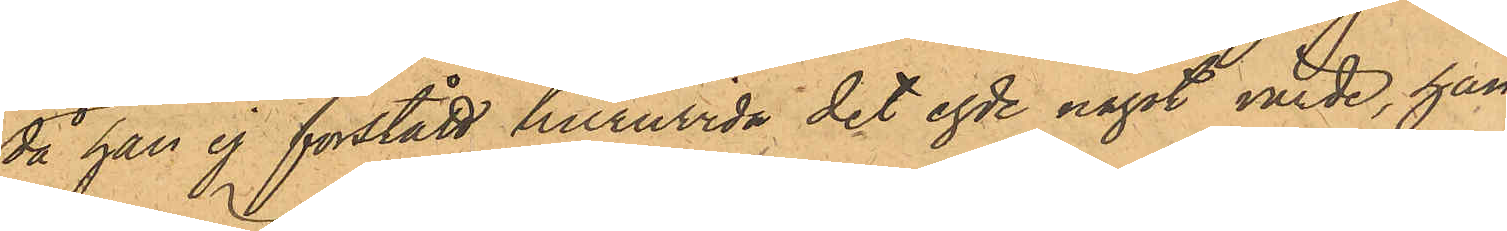då han ej förstått huruvida det egde något värde, han
